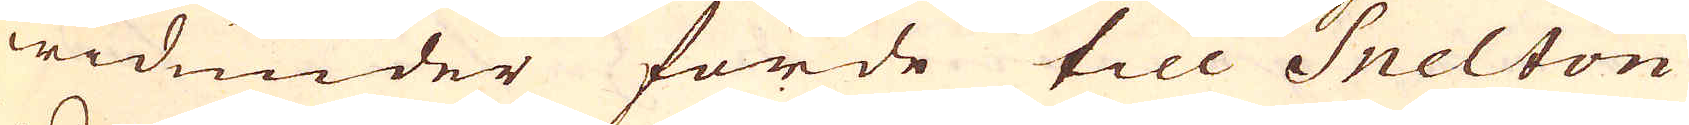widunder förde till Snelton
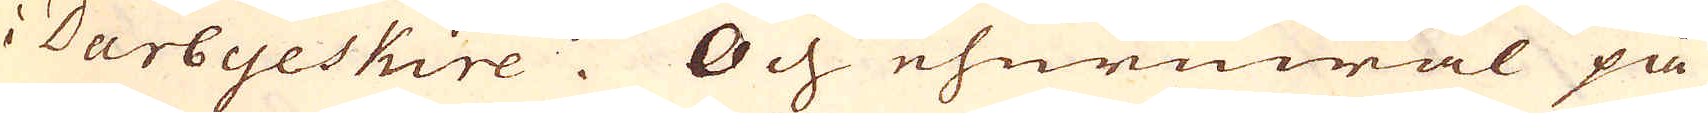i Darbyeskire. Och ehuruwäl på
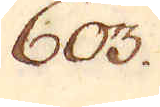603.
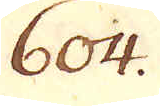604.
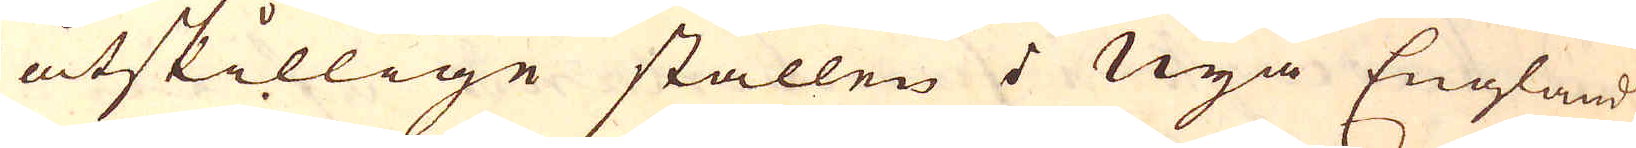åtskillige ställen i Nya England
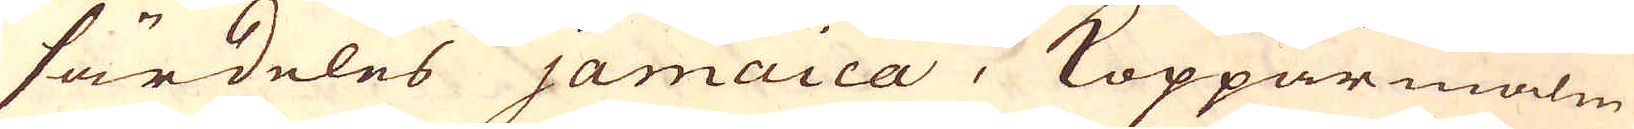särdeles Jamaica, Kopparmalm
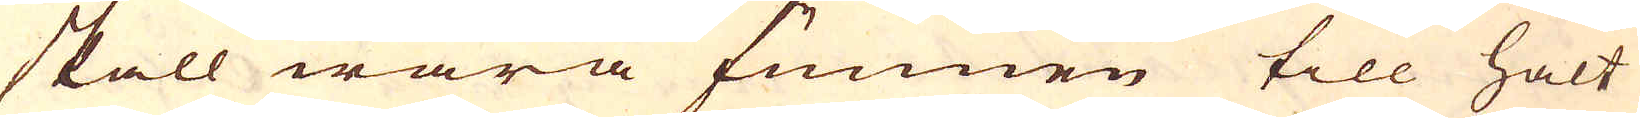skall wara funnen till halt
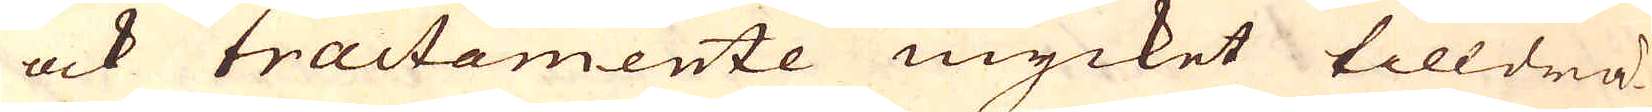ock tractamente mycket tilldrä-
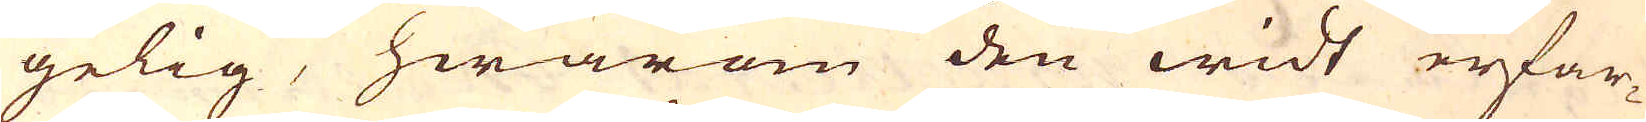gelig, hwarom den widt erfar-
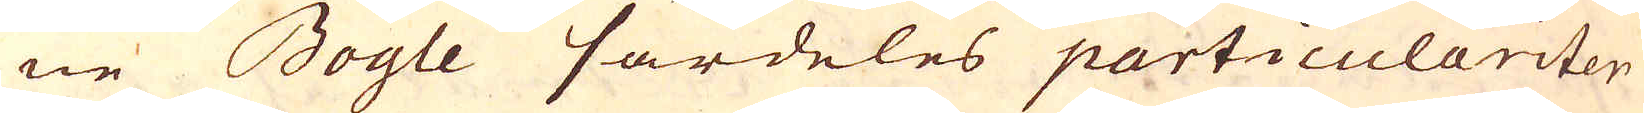ne Boyle särdeles particulariten
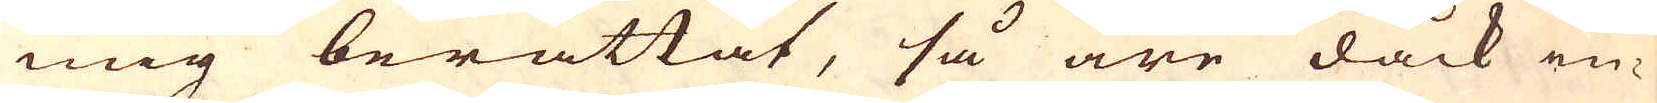mig berättat, så äre dock in-
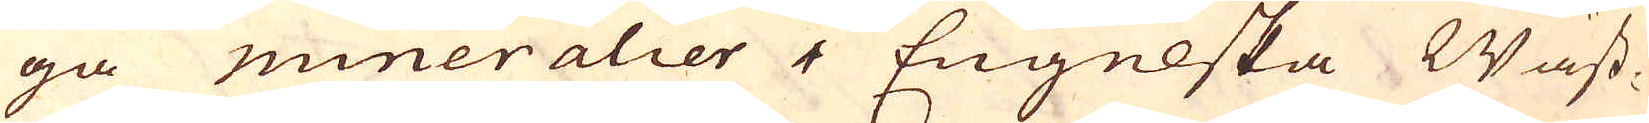ga mineralier i Engelska Wäst-
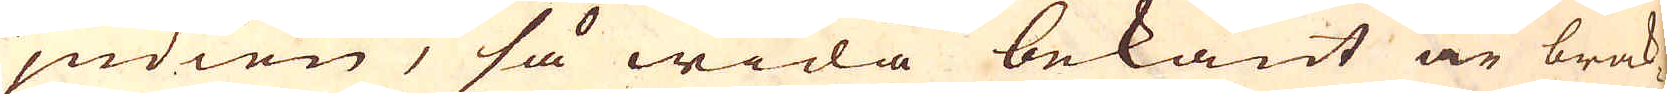jndien, så wida bekant är brak-
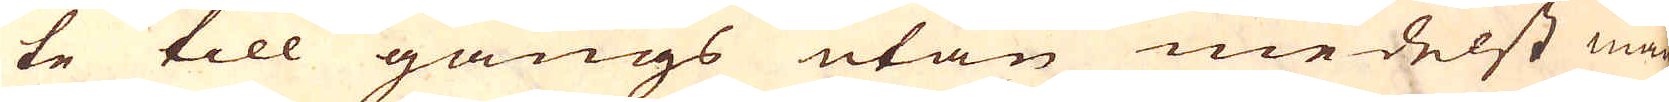te till gångs utan medelst man-
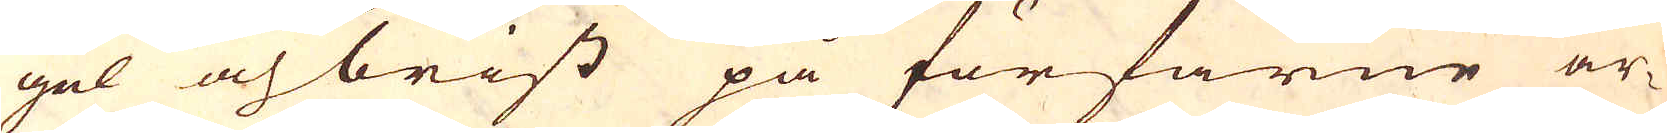gel och brist på förfarne ar-
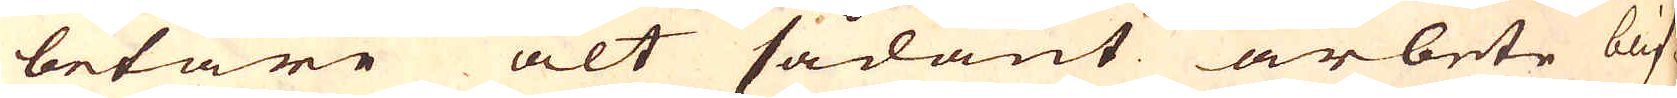betare alt sådant arbete blif-
